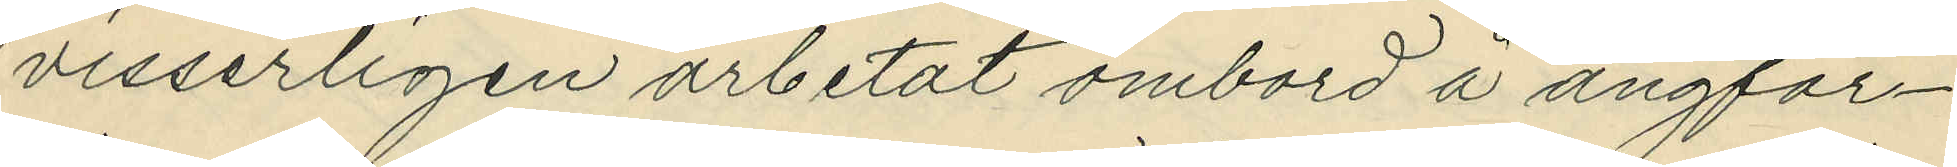visserligen arbetat ombord å ångfar¬
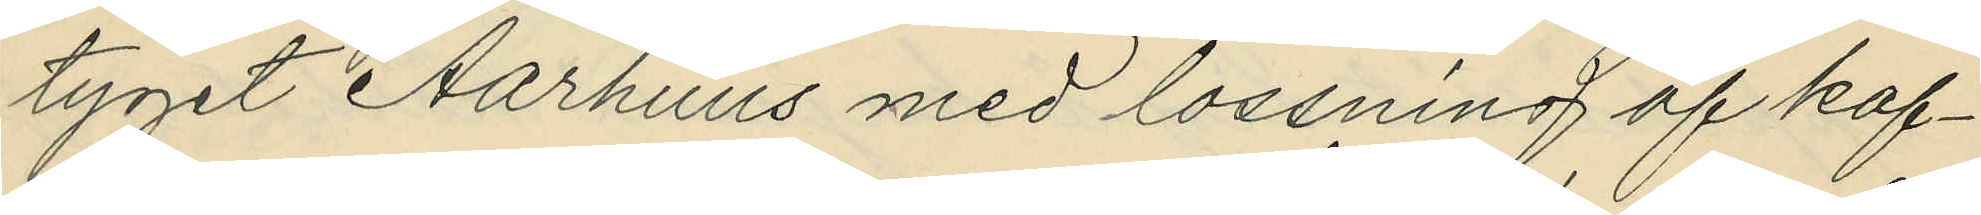tyget Aarhuus med lossning af kaf¬
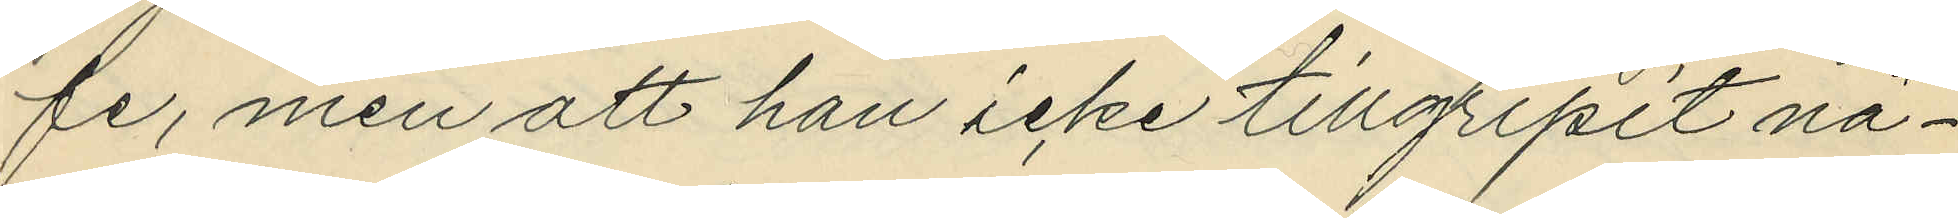fe, men att han icke tillgripit nå¬
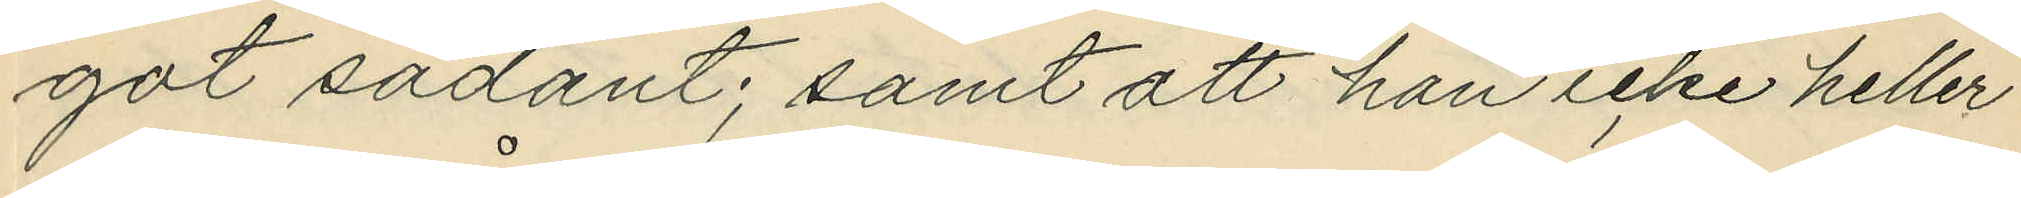got sådant; samt att han icke heller
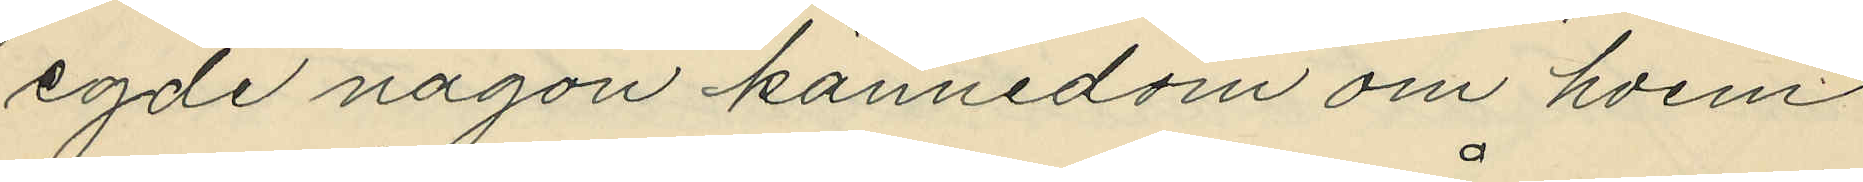egde någon kännedom om hvem
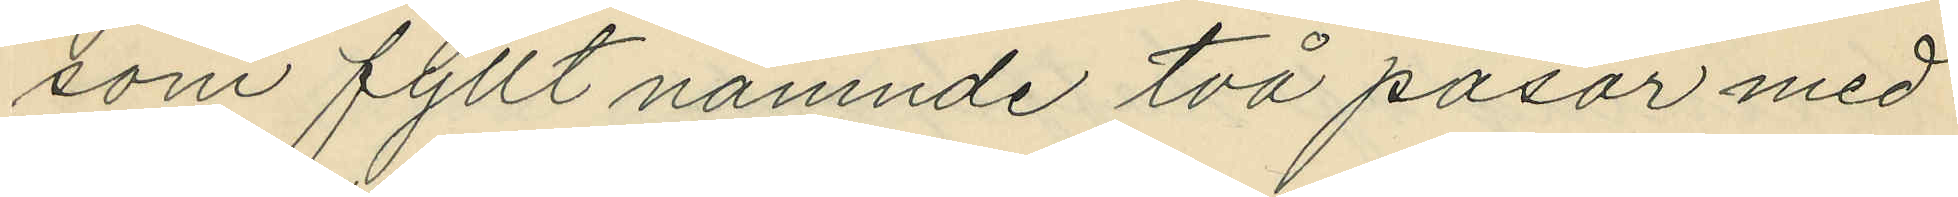som fyllt nämnde två påsar med
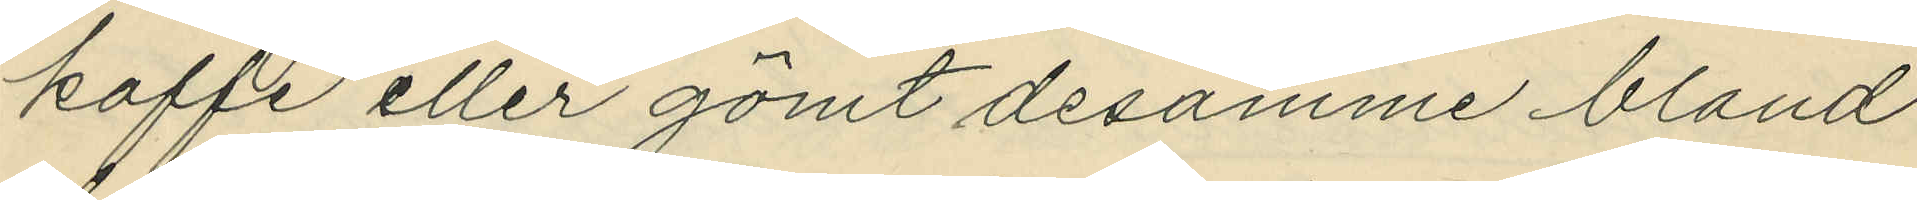kaffe eller gömt desamme bland
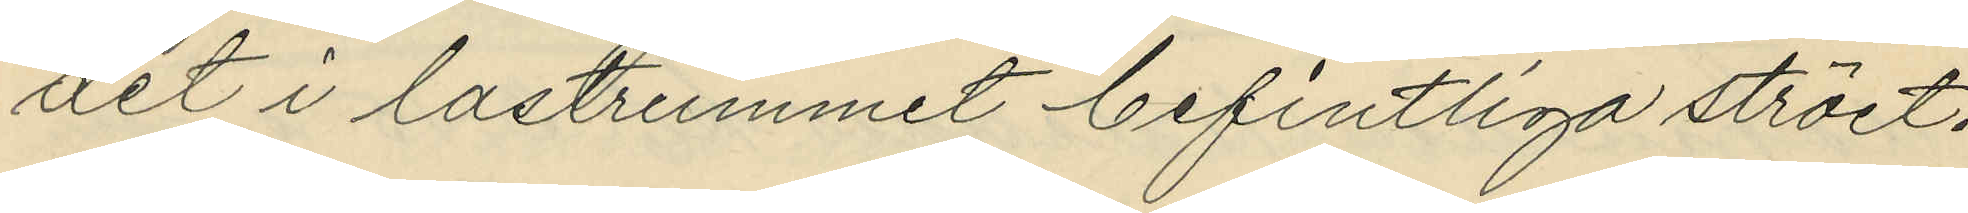det i lastrummet befintliga ströet.
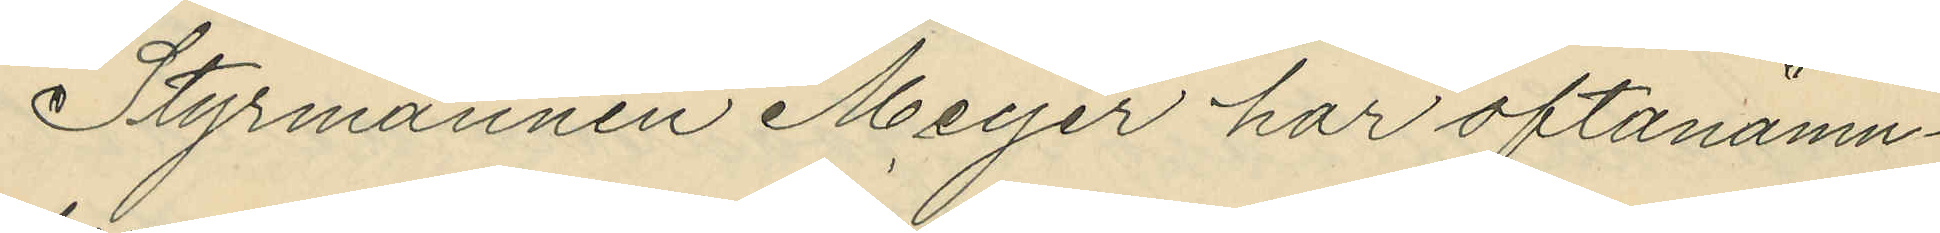Styrmannen Meyer har oftanämn¬
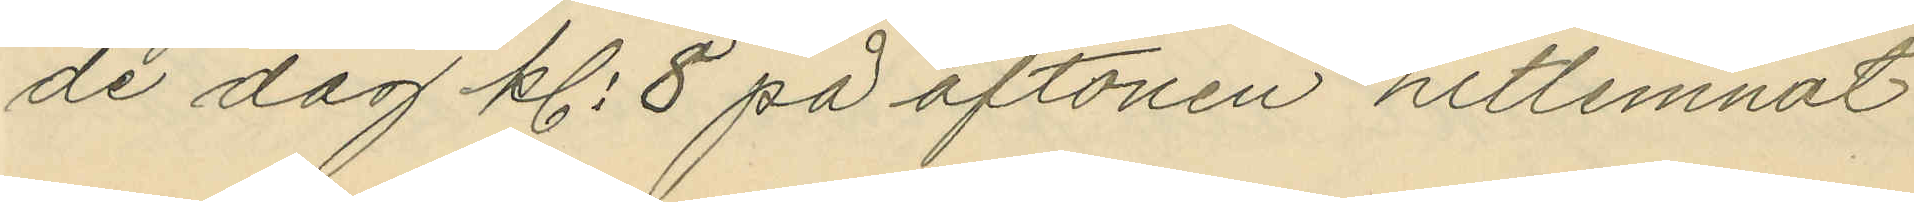de dag kl. 8 på aftonen hitlemnat
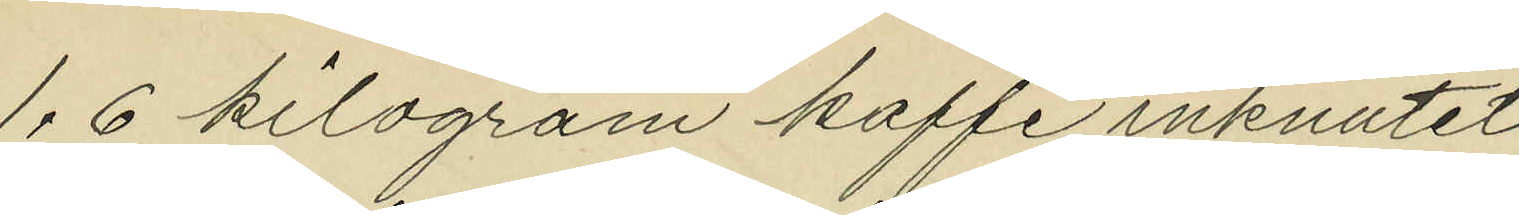1,6 kilogram kaffe inknutet
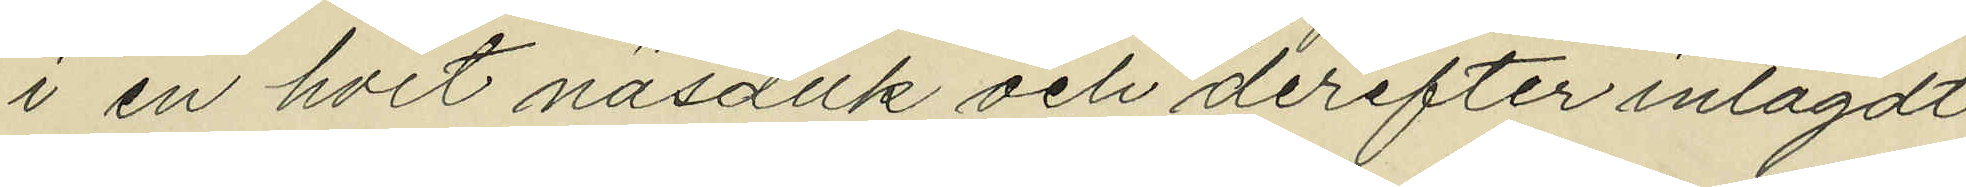i en hvit näsduk och derefter inlagdt
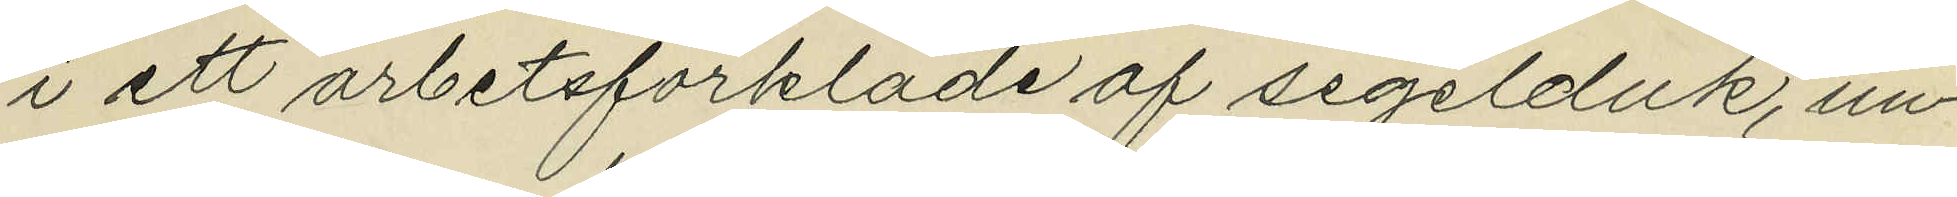i ett arbetsförkläde af segelduk, un¬
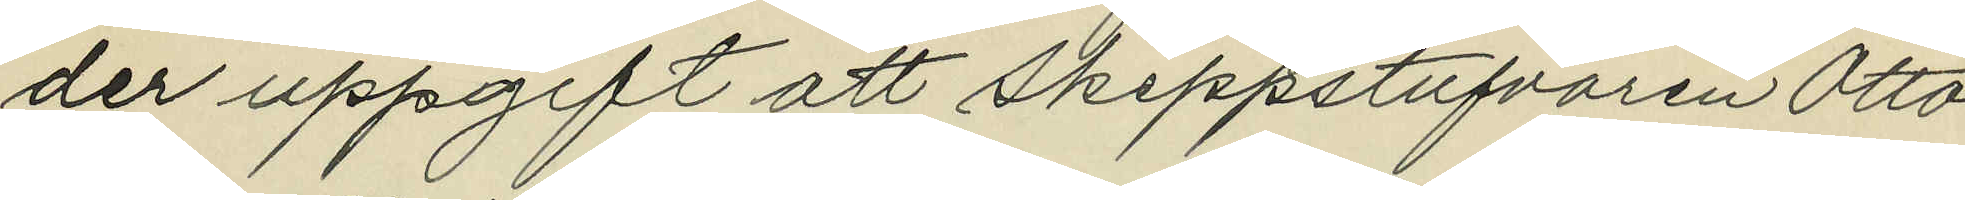der uppgift att skeppstufvaren Otto
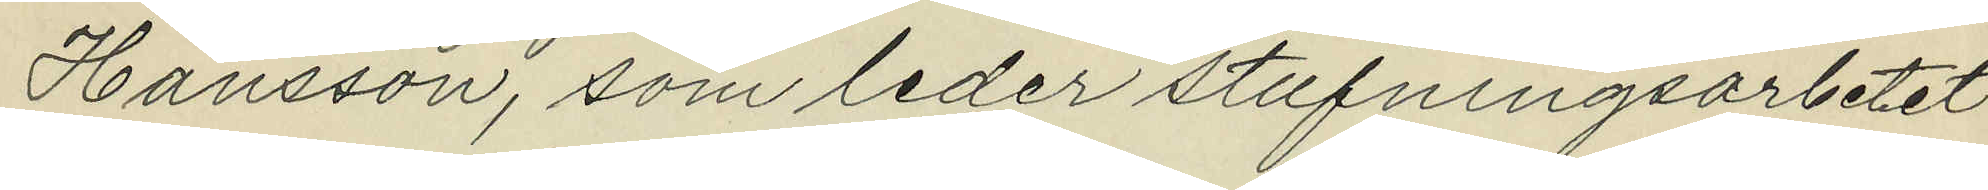Hansson, som leder stufningsarbetet
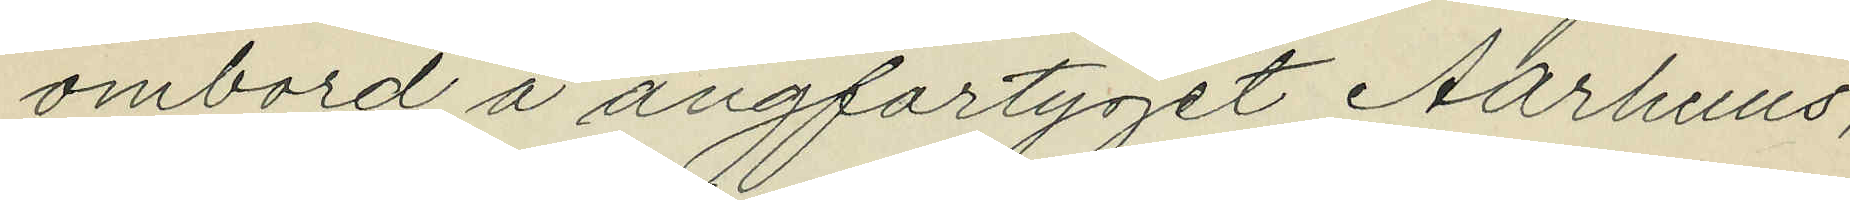ombord å ångfartyget Aarhuus,
